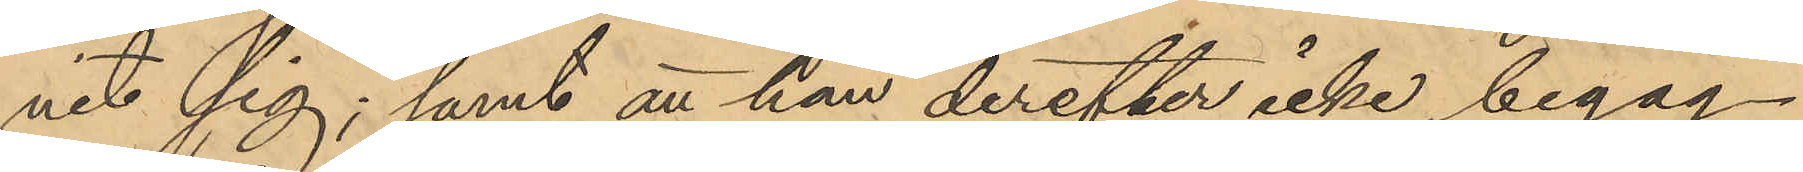nit sig; samt att han derefter icke begag¬
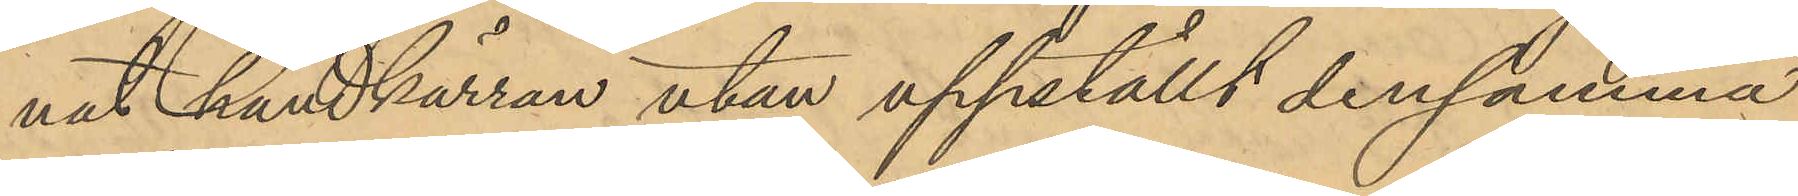nat handkärran utan uppställt densamma
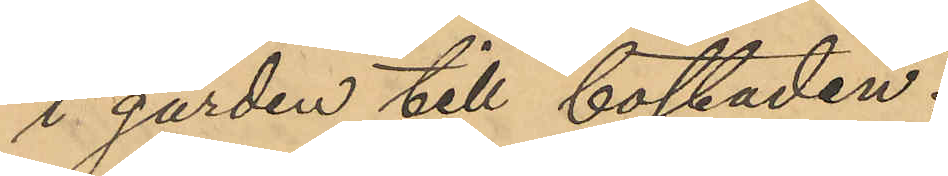i gården till bostaden.
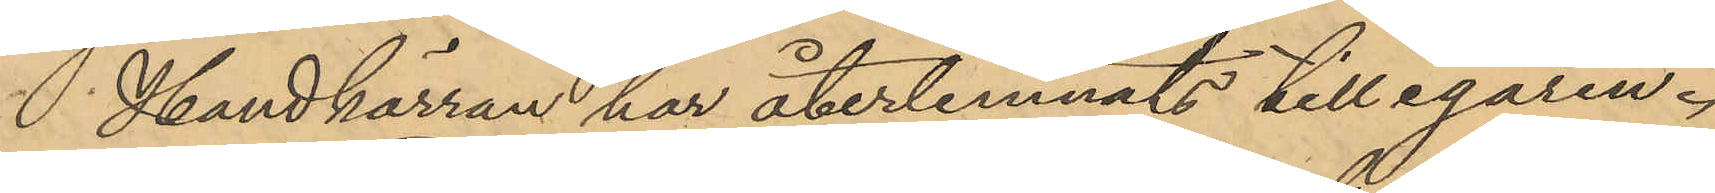 Handkärran har återlemnats till egaren.
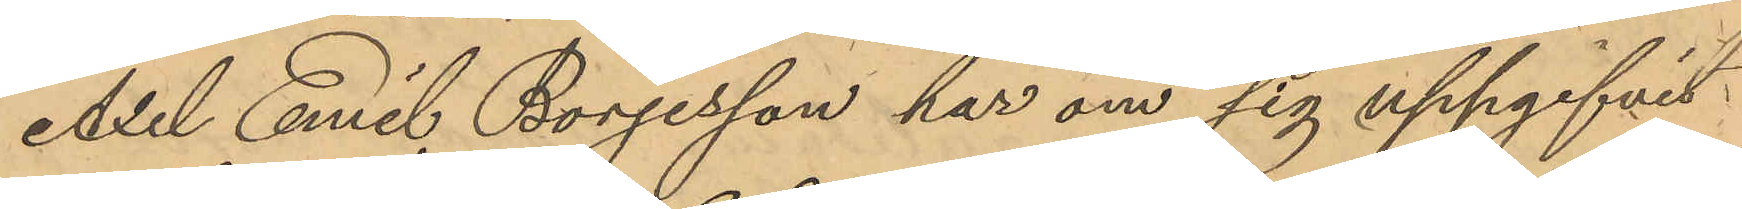Axel Emil Börjesson har om sig uppgifvit
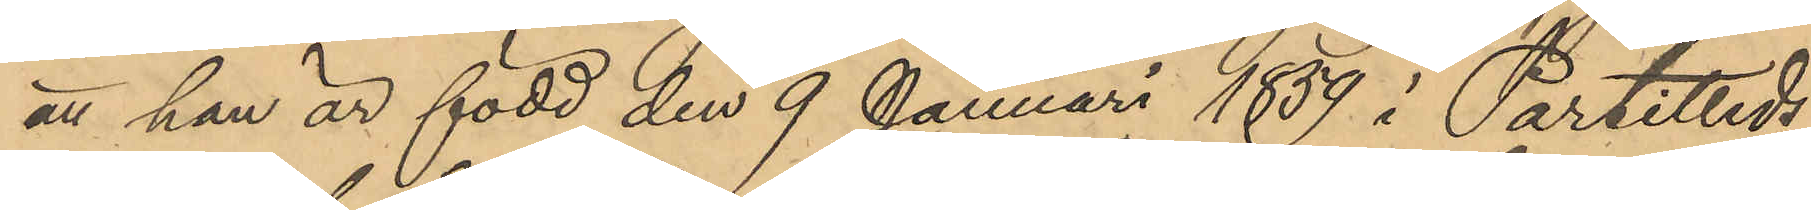att han är född den 9 Januari 1859 i Partilleds
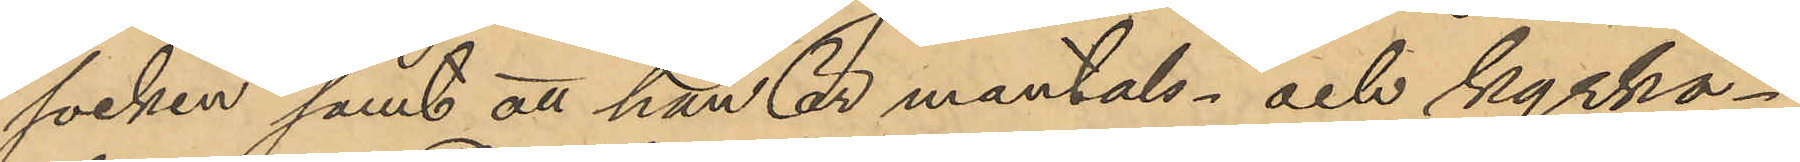socken samt att han är mantals- och kyrko¬
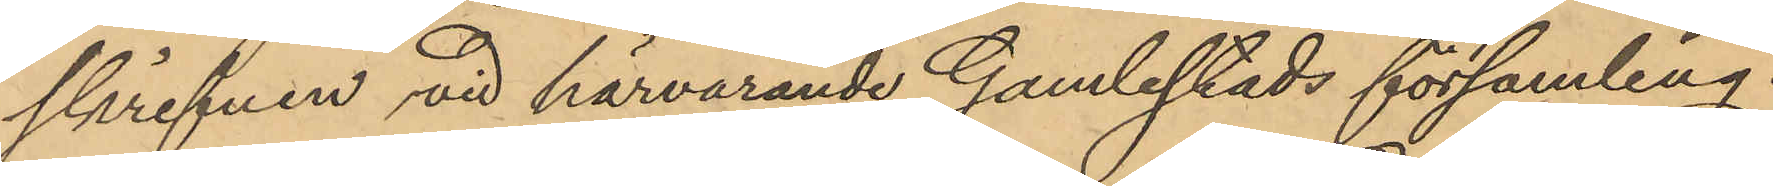skrifven vid härvarande Gamlestads församling.
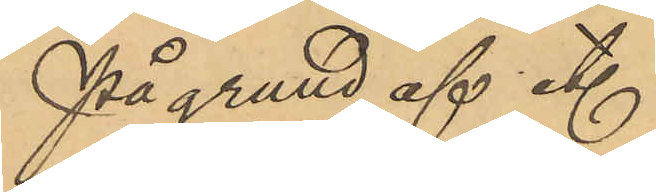På grund af et.
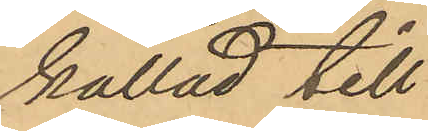kallad till
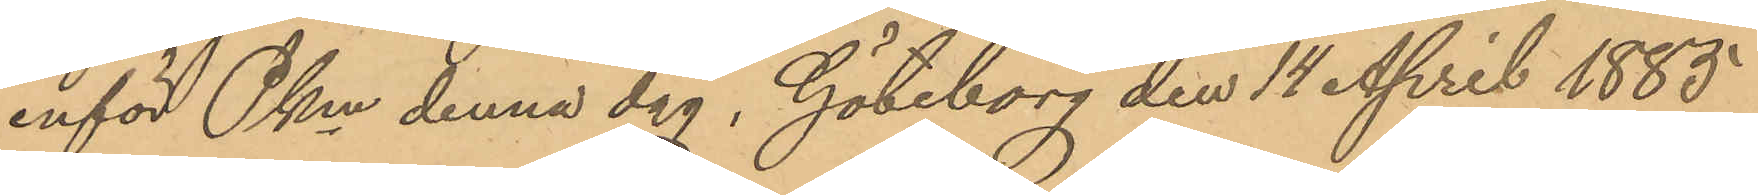inför Pkm denna dag, Göteborg den 14 April 1885
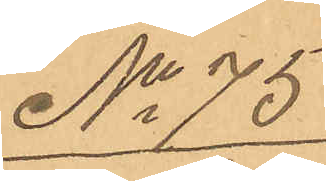No 75.
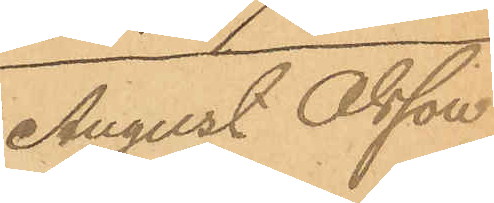August Olsson
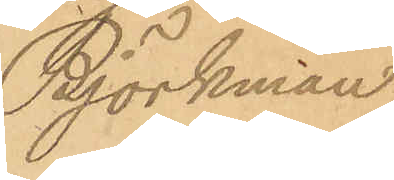Björkman
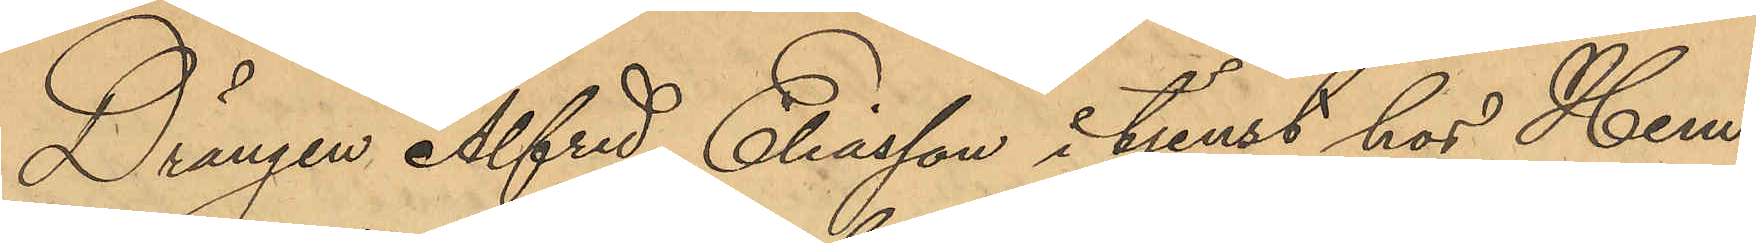Drängen Alfred Eliasson i tjenst hos Hem¬
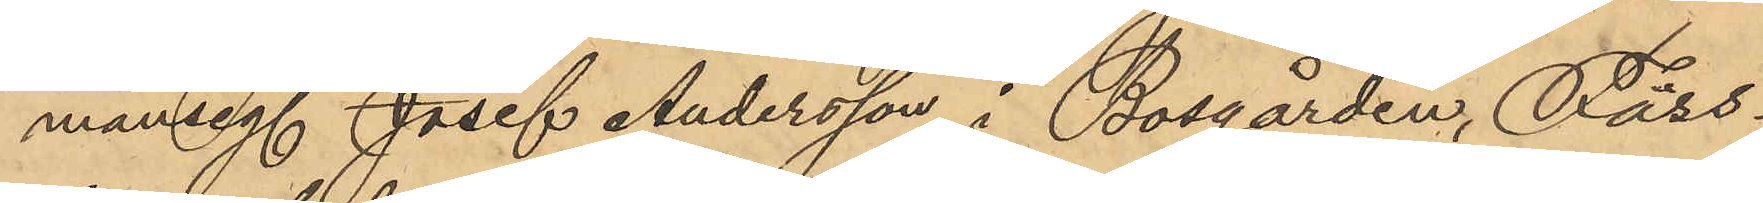manseg. Josef Andersson i Bosgården, Fäss¬
